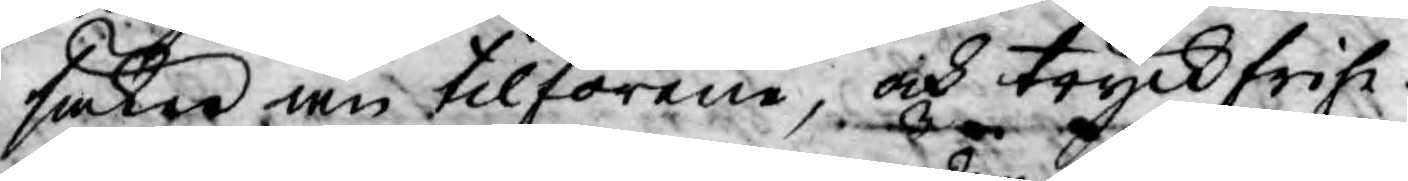säker än tilförene, och tryckfrihe¬
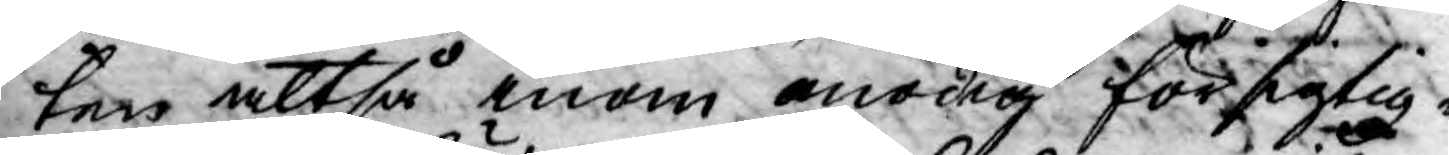ten altså inom onödig försigtig¬
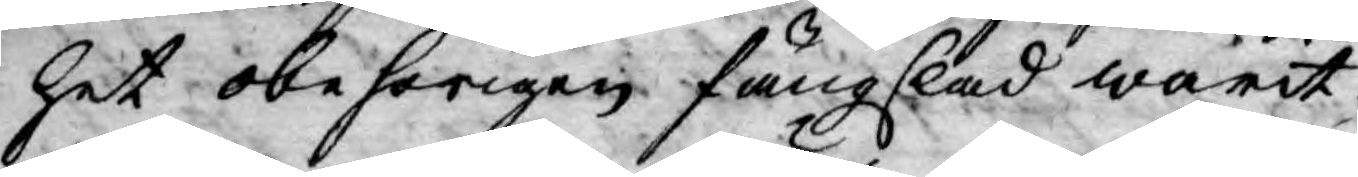het obehörigen fängslad warit.
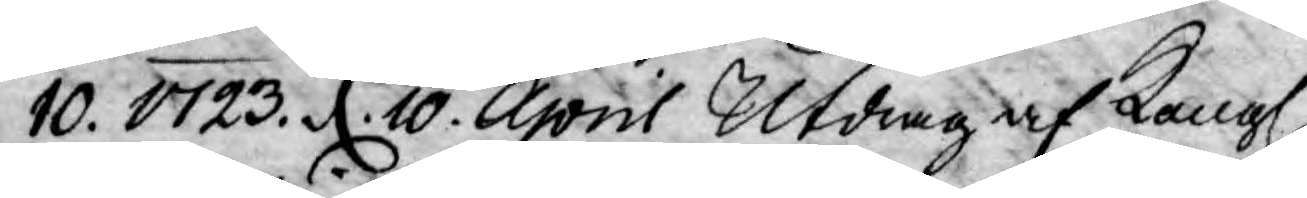10. 1723. d. 10. April Utdrag af Kongl.
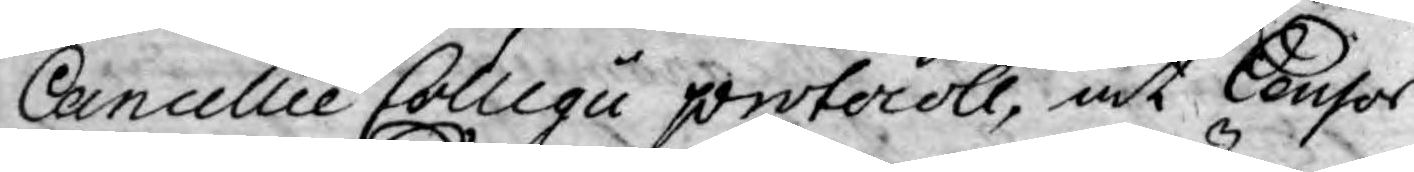Cancellie Collegii protocoll, at Censor
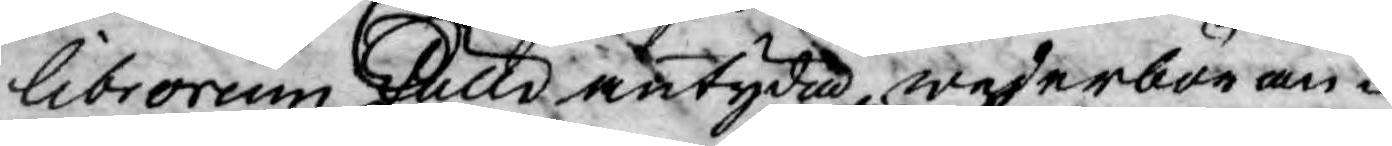librorum skulle antyda, wederböran¬
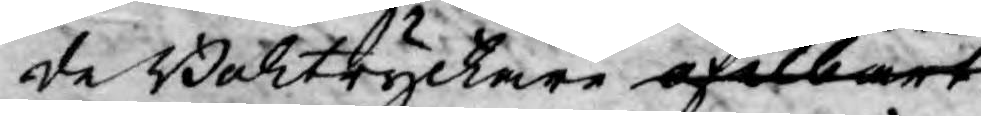de Boktryckare ofelbart
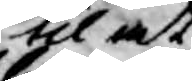til at
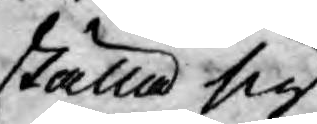ställa sig
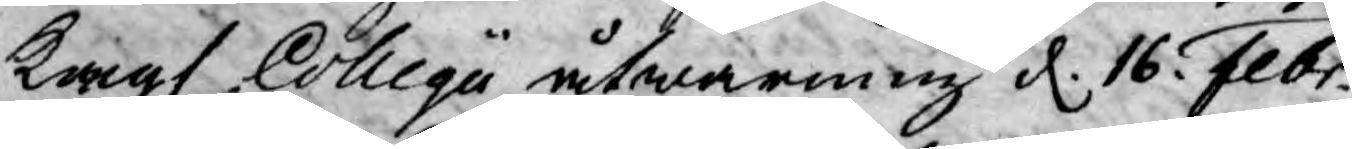Kongl Collegii åtwarning d. 16. Febr.
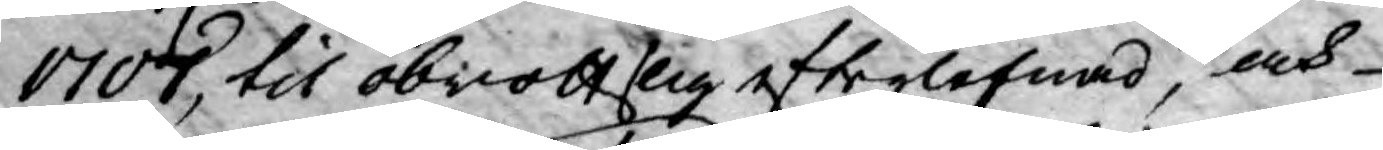1707, til obrottslig efterlefnad, och
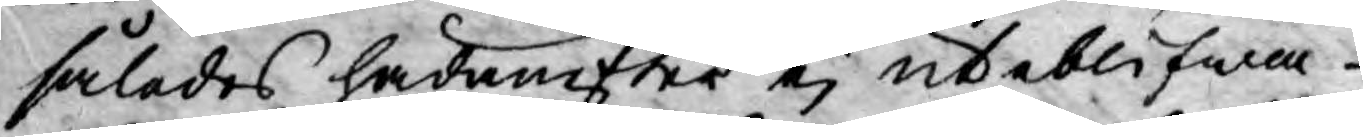således hädanefter ej uteblifwa
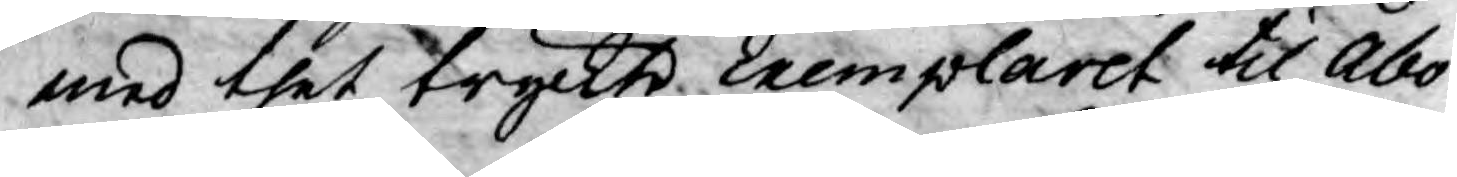med thet tryckte Exemplaret til Åbo
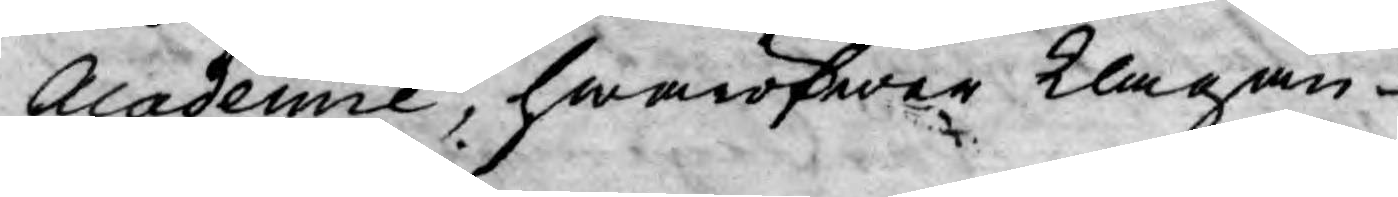Academie, hwaröfwer klagan
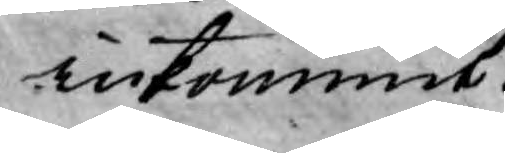inkommit.
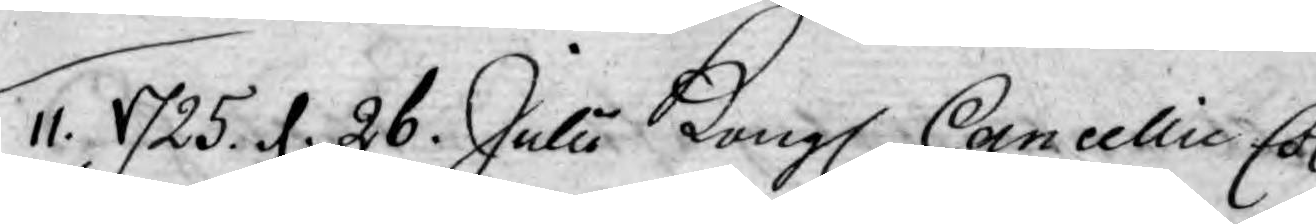11. 1725. d. 26. Julii Kongl. Cancellie Col¬
